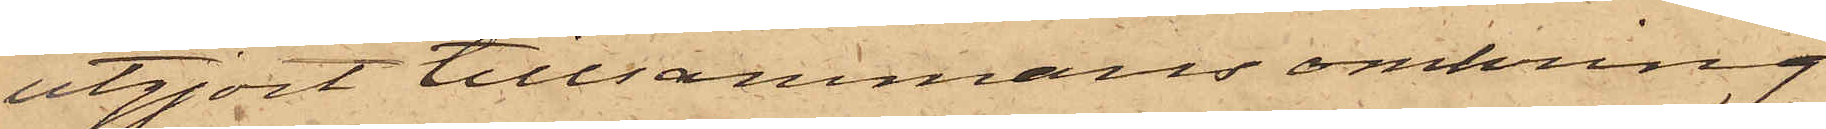utgjort tillsammans omkring
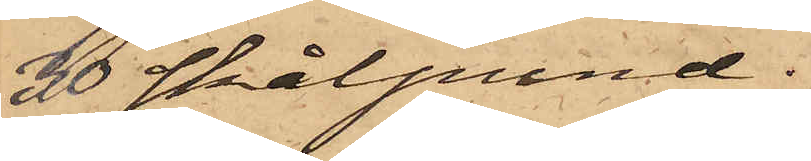30 skålpund.
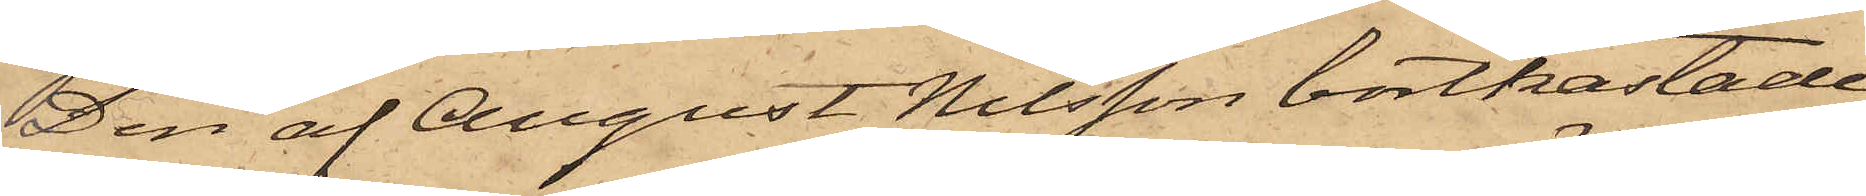Den af August Nilsson bortkastade
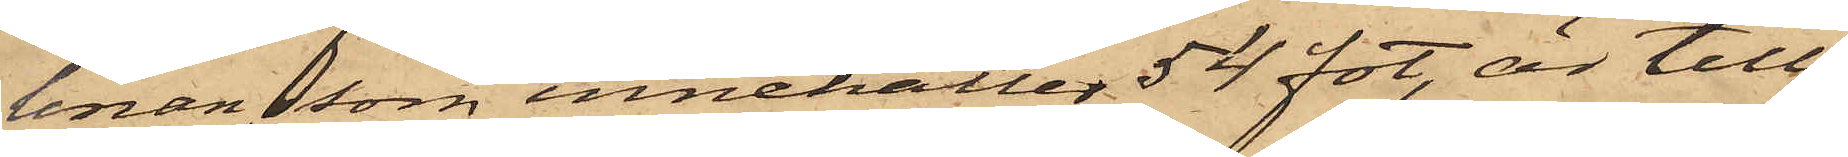linan, som innehåller 54 fot, är till¬
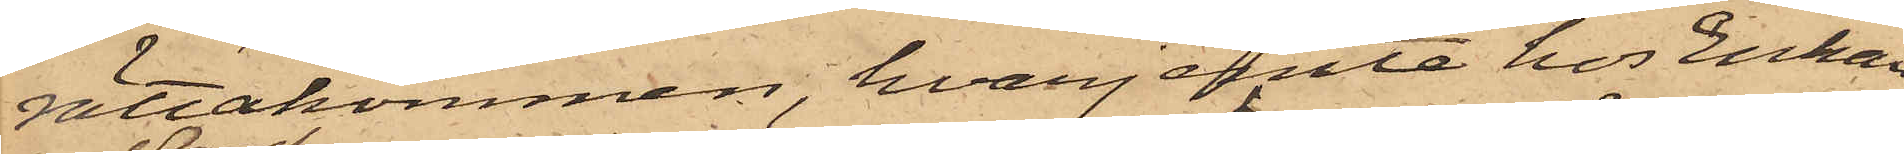rättakommen, hvarjemte hos Enkan
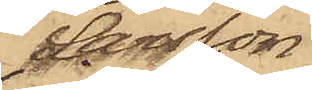Larsson
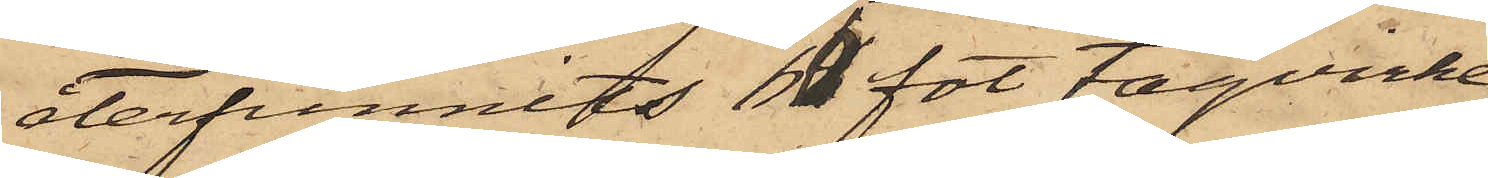återfunnits 60 fot tågvirke
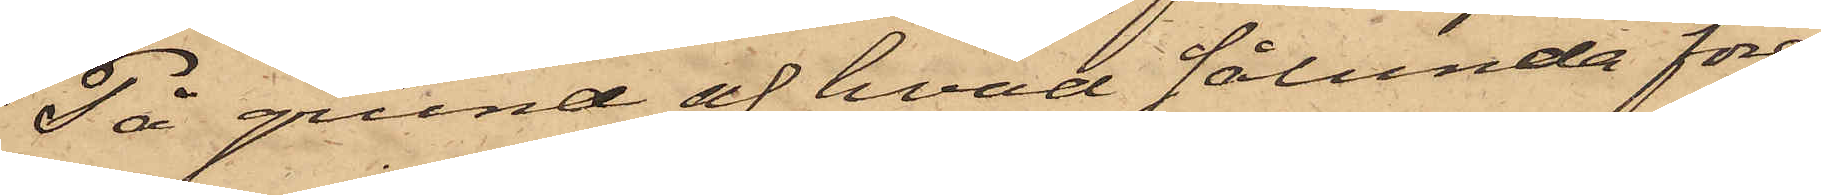På grund af hvad sålunda före¬
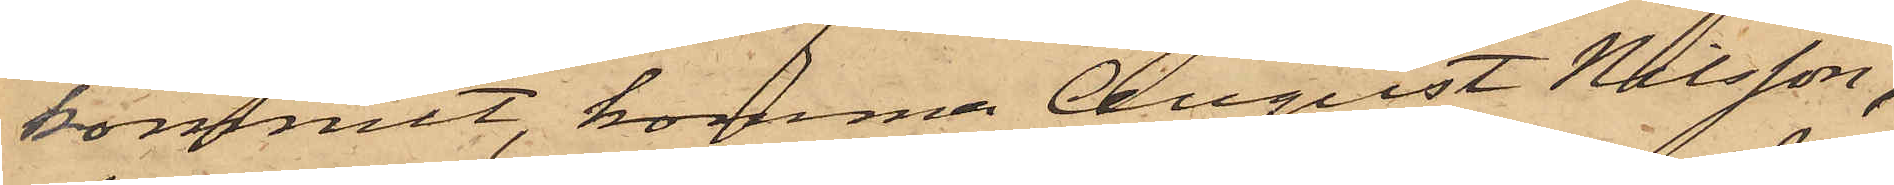kommit, komma August Nilsson,
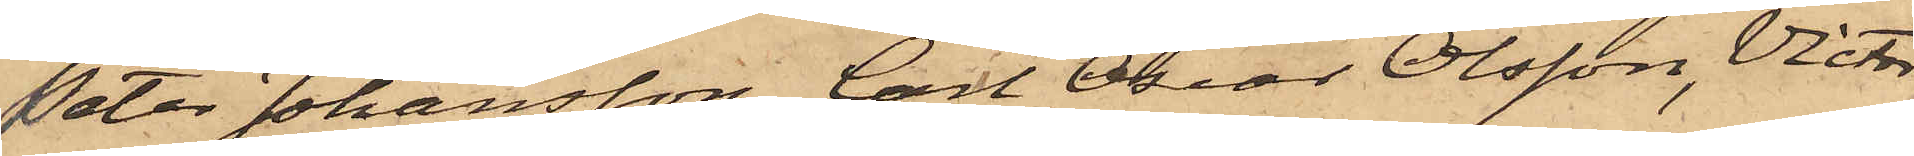Peter Johansson, Carl Oscar Olsson, Victor
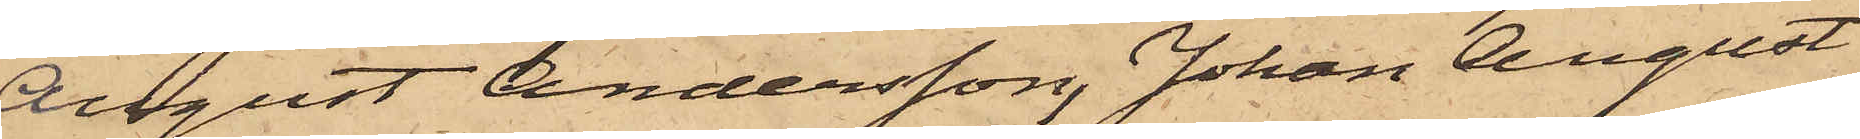August Andersson, Johan August
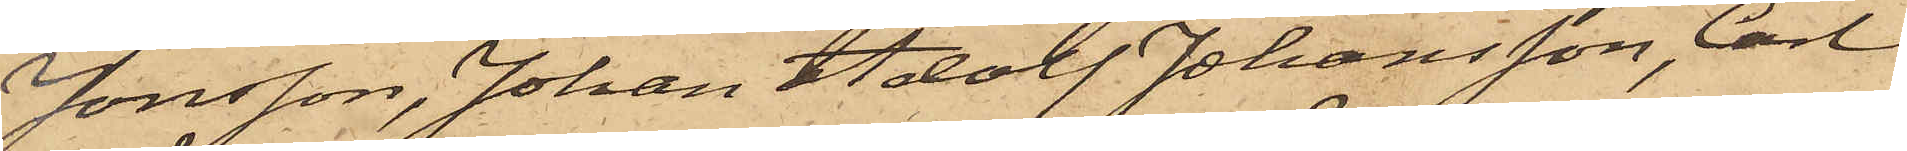Jonsson, Johan Adolf Johansson, Carl
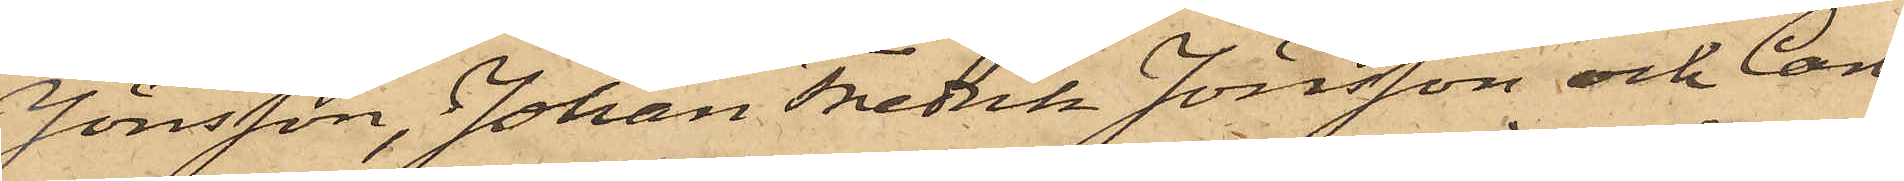Jönsson, Johan Fredrik Jönsson och Carl
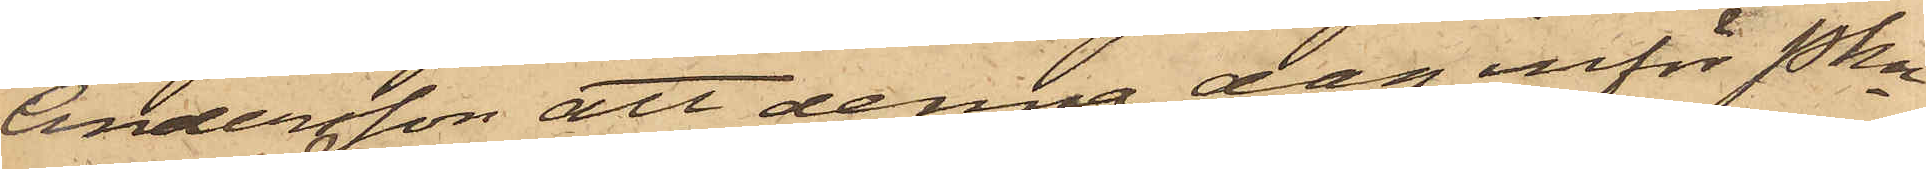Andersson att denna dag inför Pkn
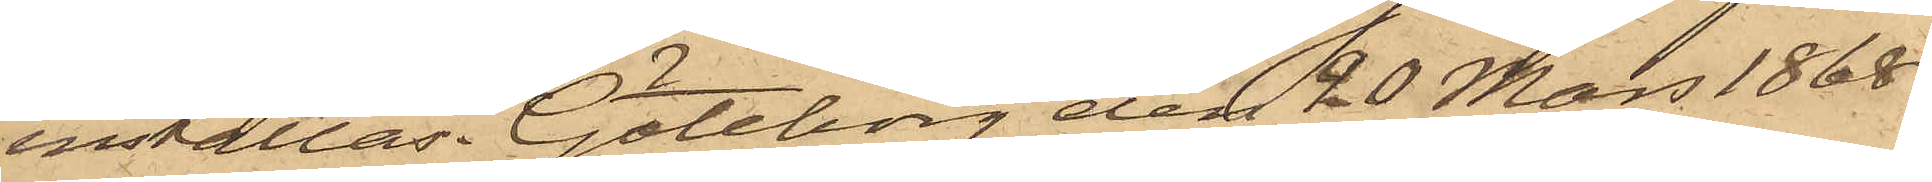inställas. Göteborg den 20 Mars 1868.
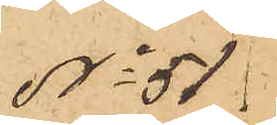No 51
